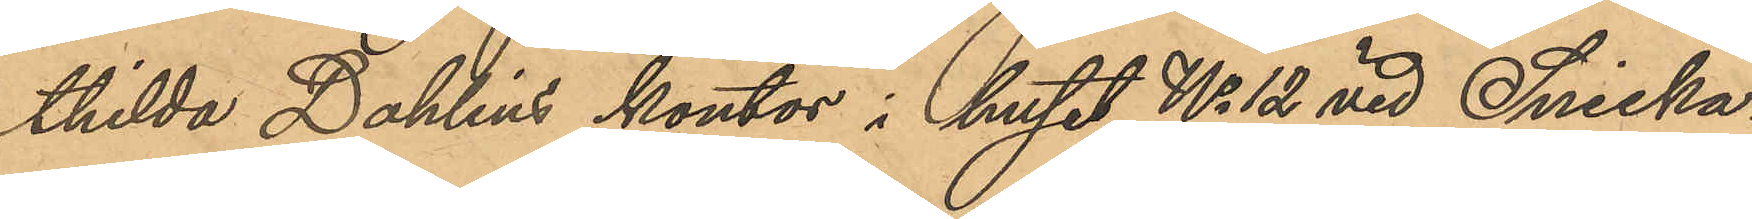thilda Dahlins kontor i huset No 12 vid Snicka¬
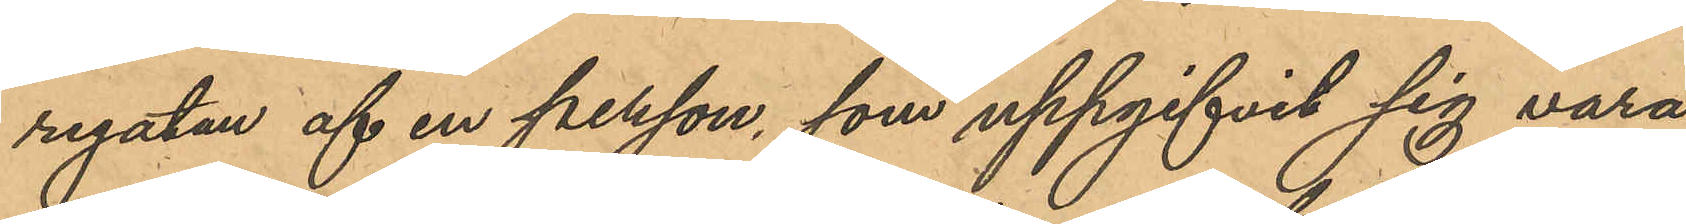regatan af en person, som uppgifvit sig vara
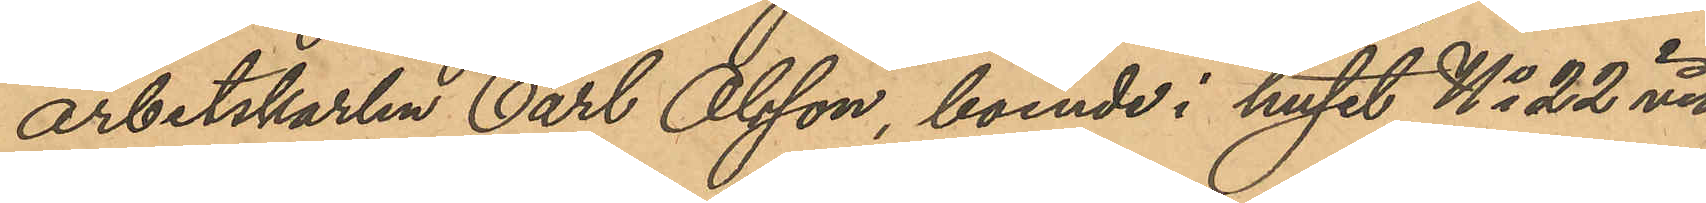arbetskarlen Carl Olsson, boende i huset No 22 vid
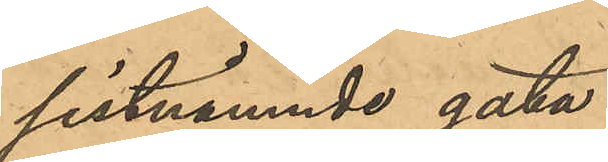sistnämnde gata.
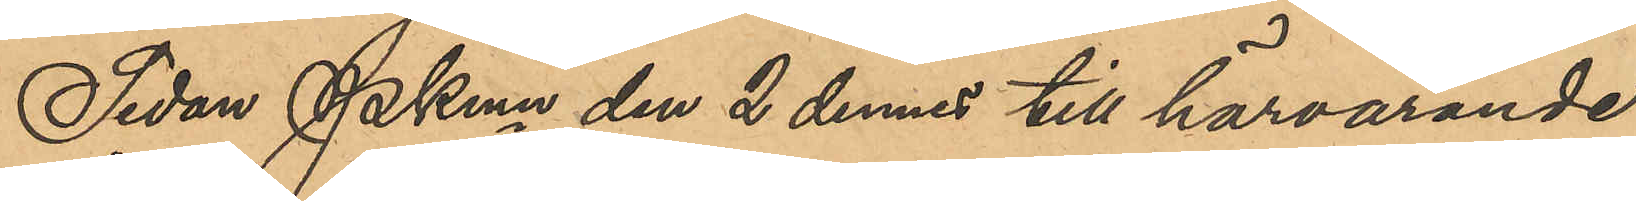Sedan Pkmn den 2 dennes till härvarande
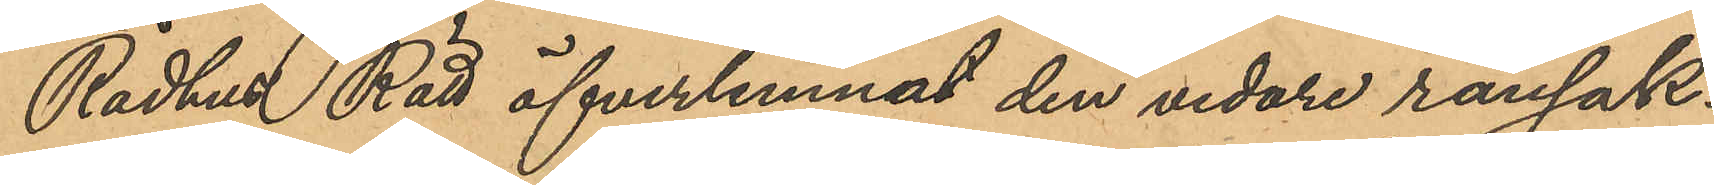Rådhus Rätt öfverlemnat den vidare ransak¬
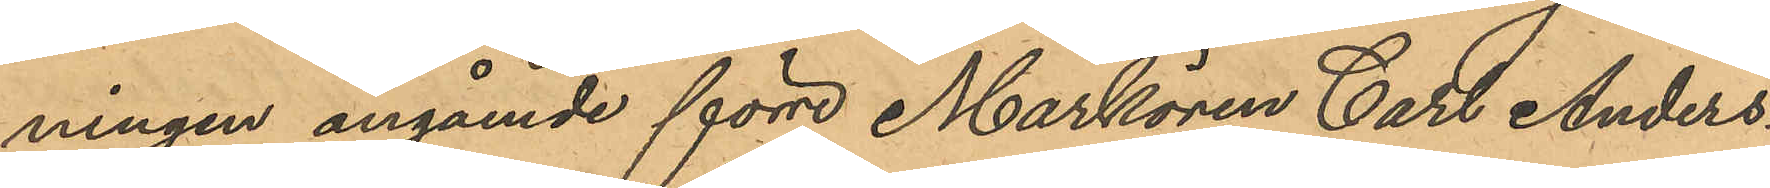ningen angående förre Markören Carl Anders¬
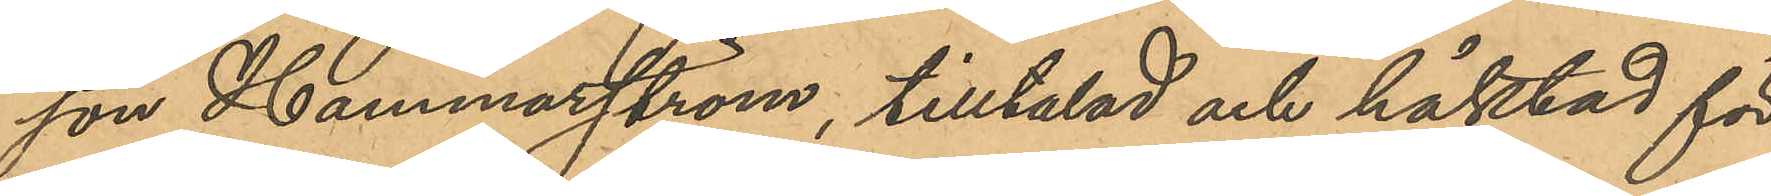son Hammarström, tilltalad och häktat för
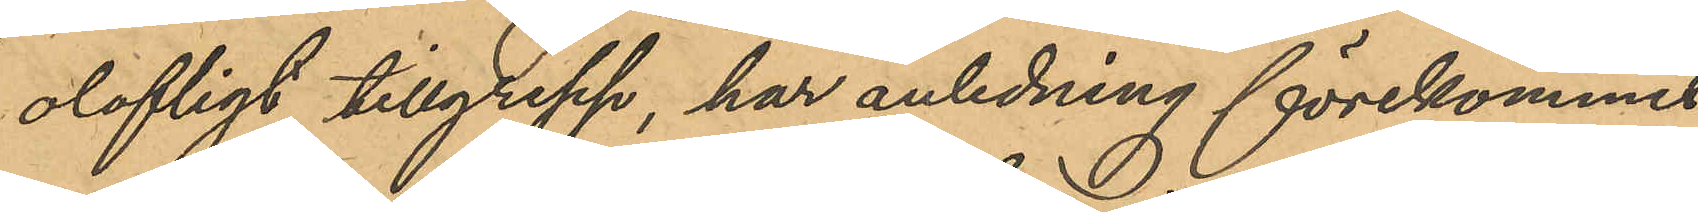olofligt tillgrepp, har anledning förekommit
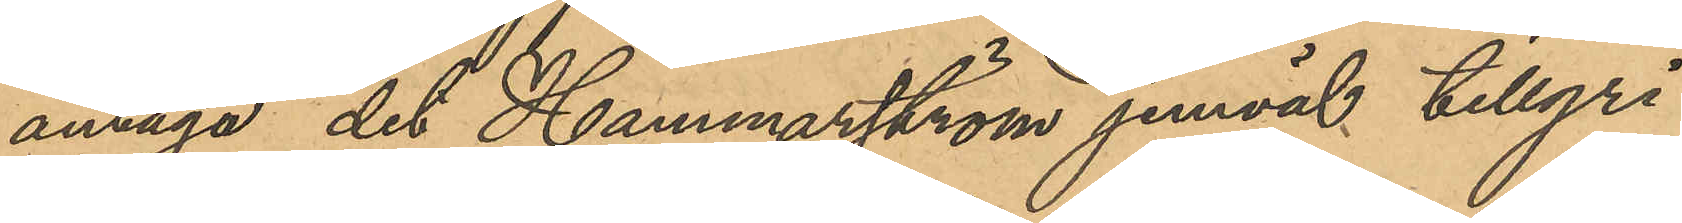antaga det Hammarström jemväl tillgri¬
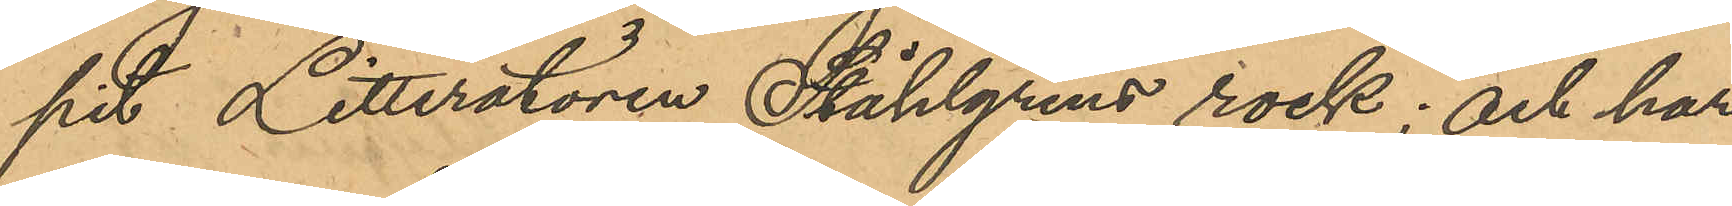pit Litteratören Ståhlgrens rock; och har
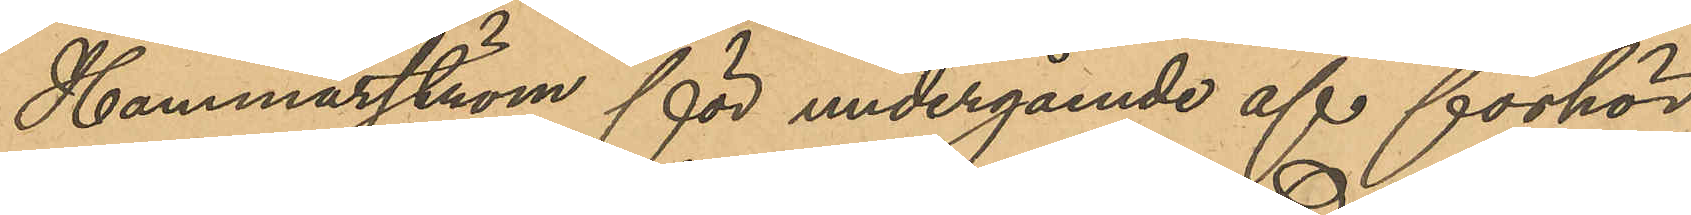Hammarström för undergående af förhör
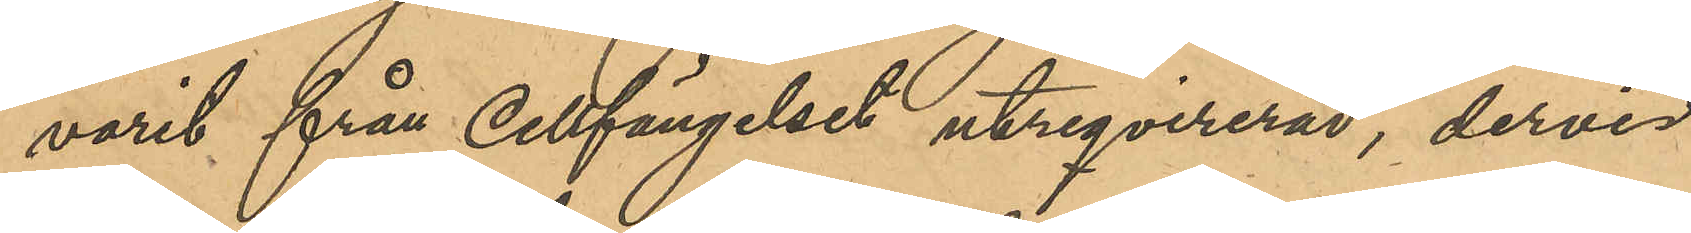varit från Cellfängelset utreqvirerad, dervid
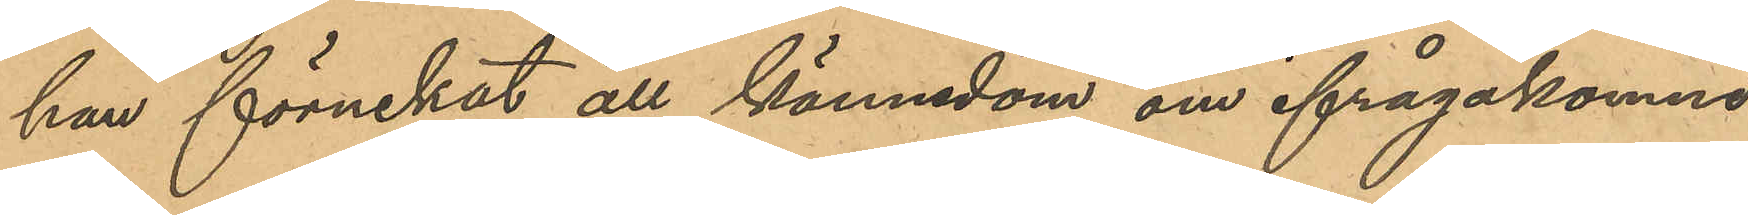han förnekat all kännedom om ifrågakomne 
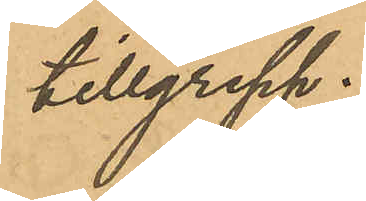tillgrepp.
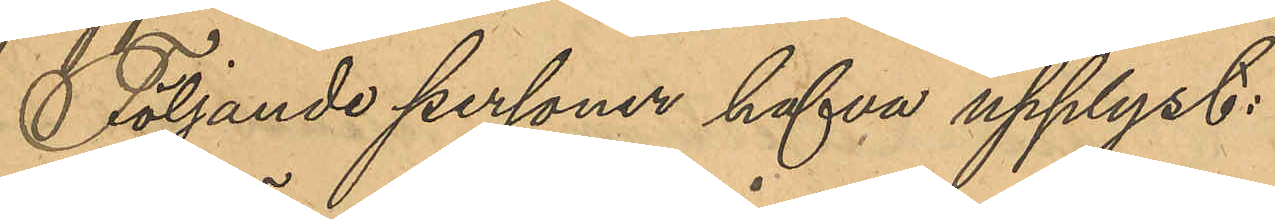Följande personer hafva upplyst:
